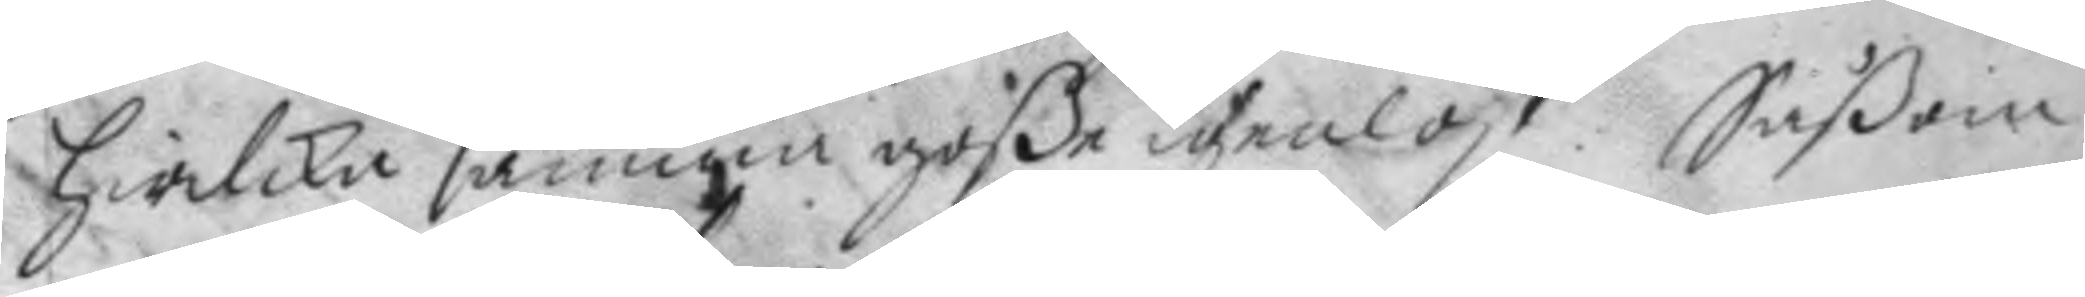hwilka samma goße igenlöst. Såßom
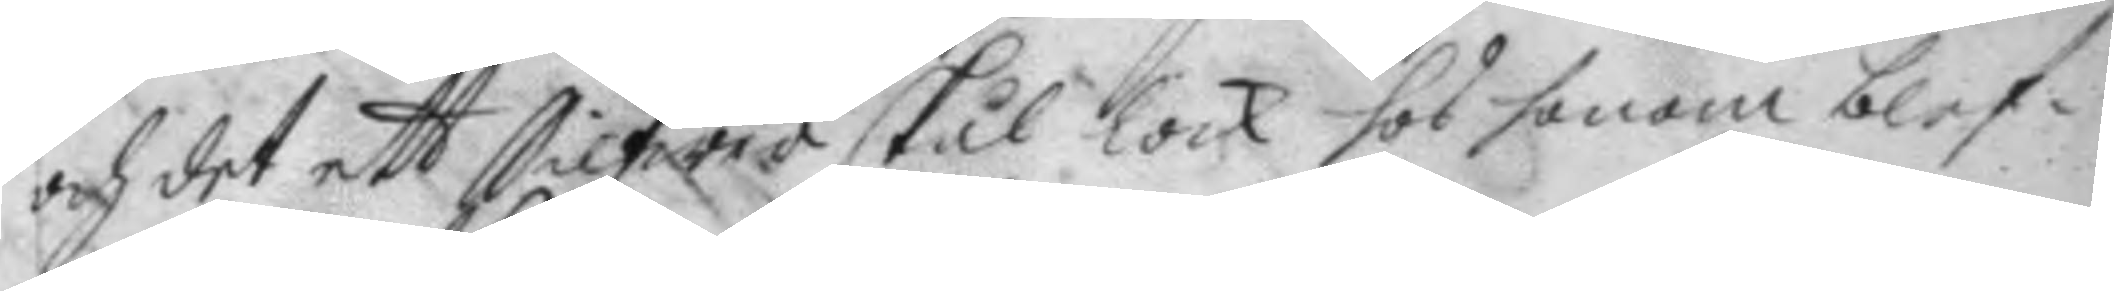och det ett Silfwer skål lock hos honom blef¬
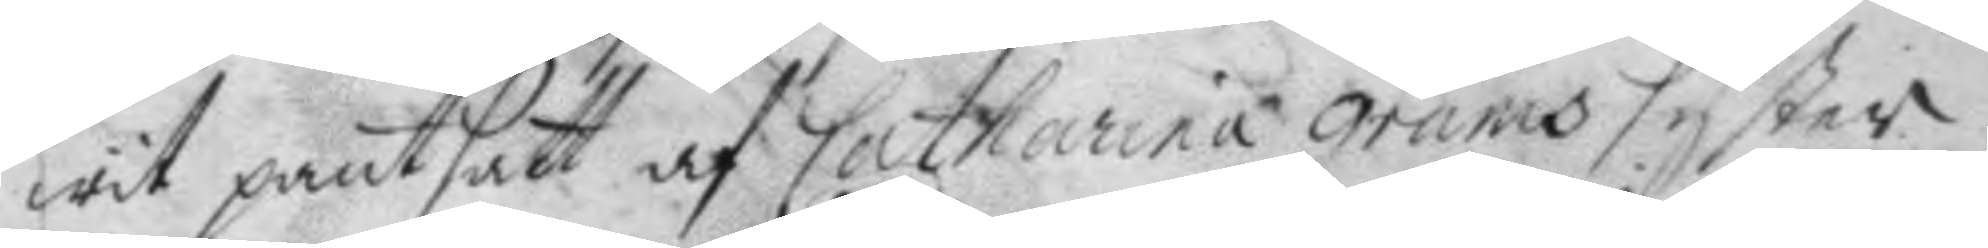wit pantsatt af Catharina grams syster;
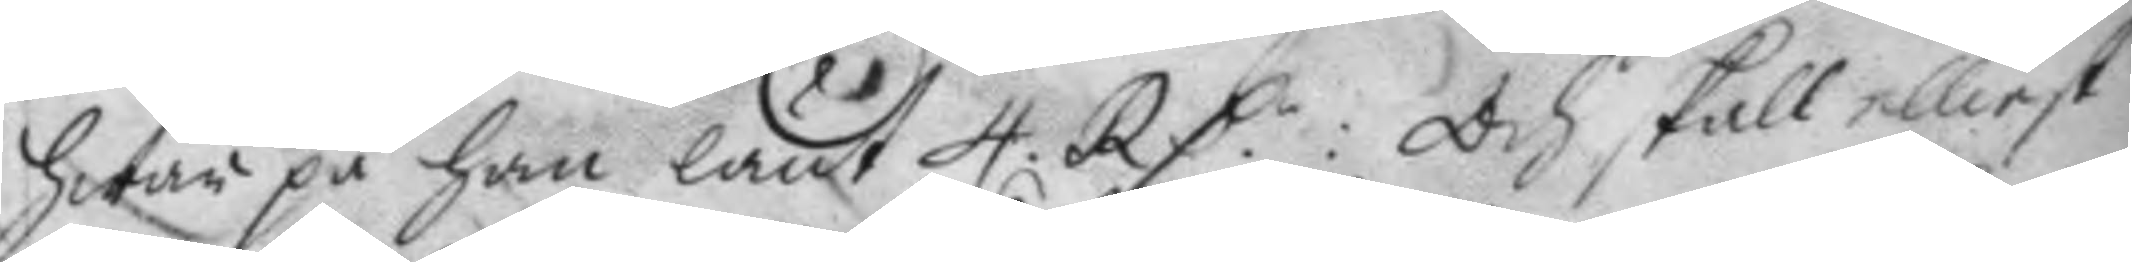hwar på han lånt 4 RD:r Och skall elliest 
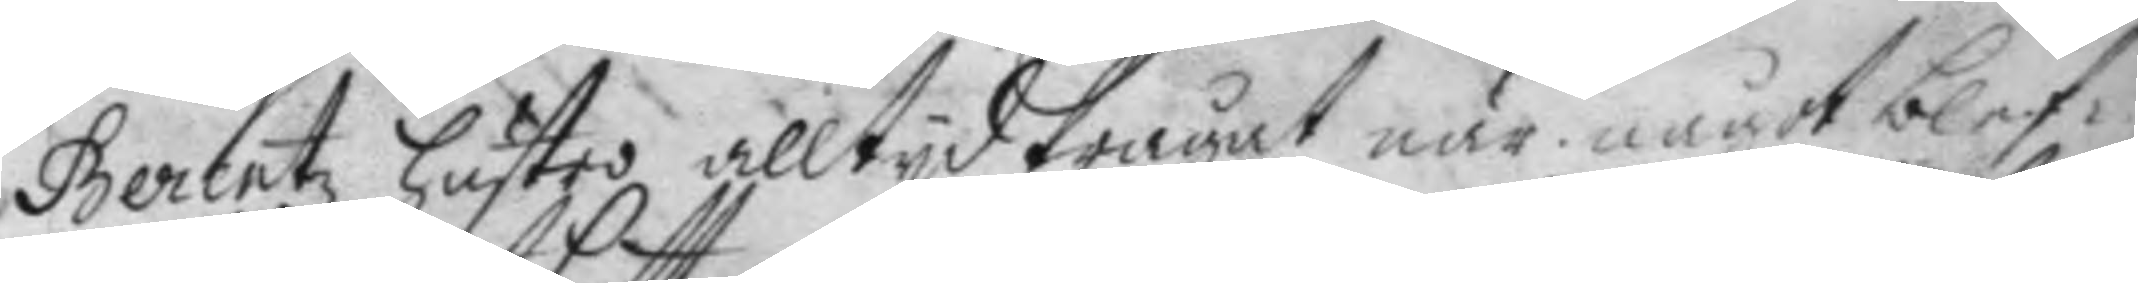Berentz hustro alltyd frågat när något blef¬
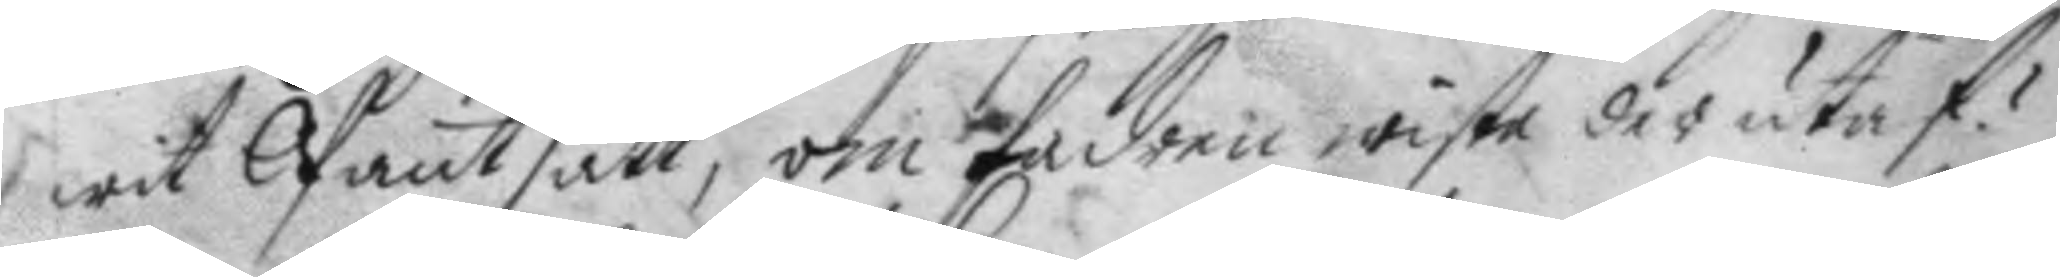wit Pantsatt, om fadren wiste der utaf?
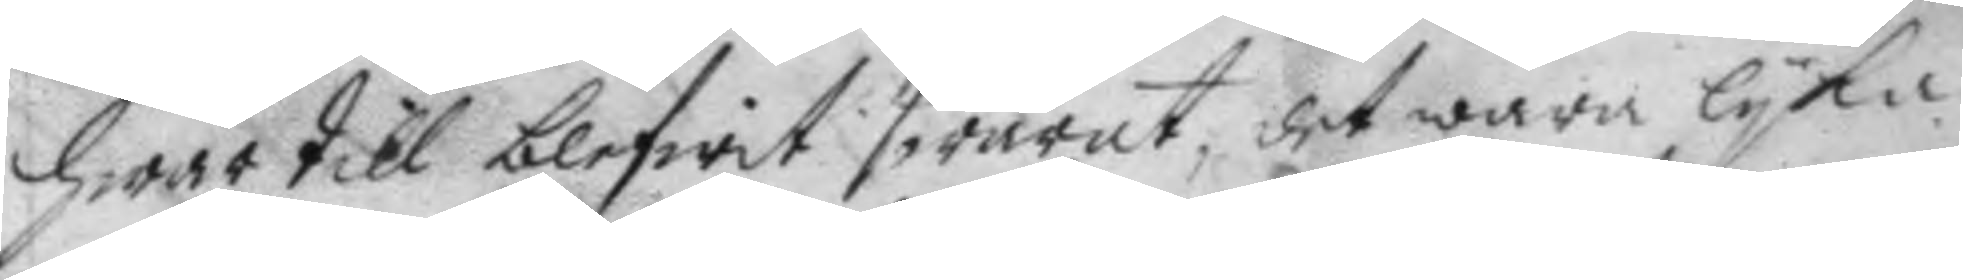hwar till blifwit swarat, det wara lyka
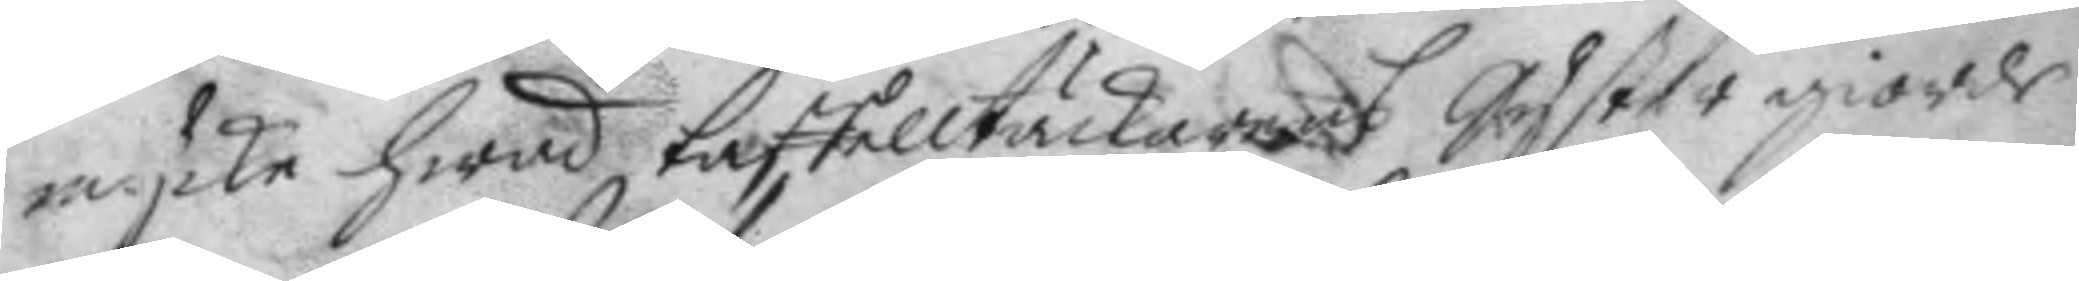mycke hwad taffelltäckarens Syster giorde
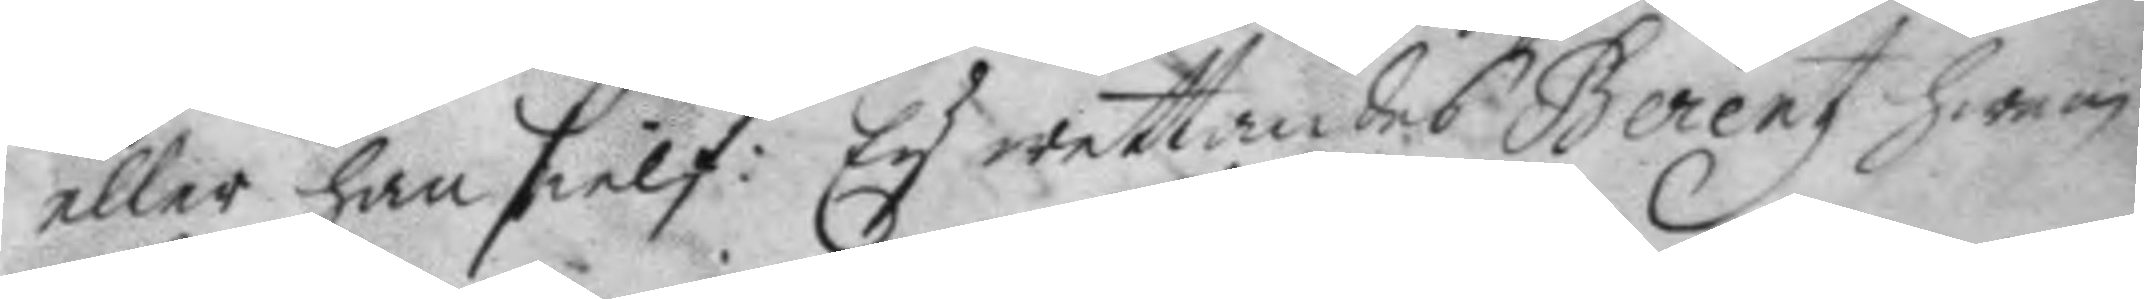eller han sielf: Ey wettandes Berentz hwem
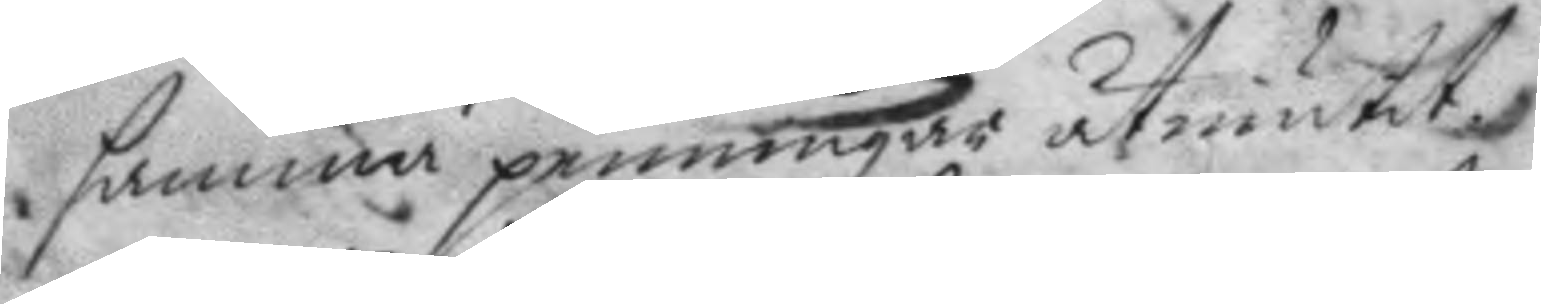samma penningar åtniutit.
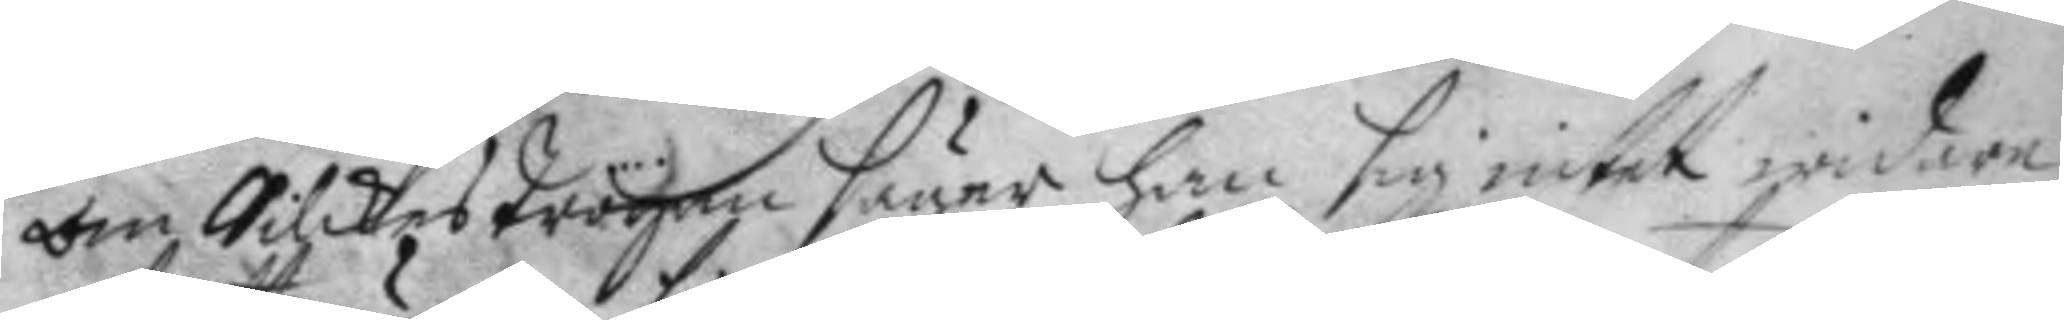om Silckeströyan säger han sig intet widare
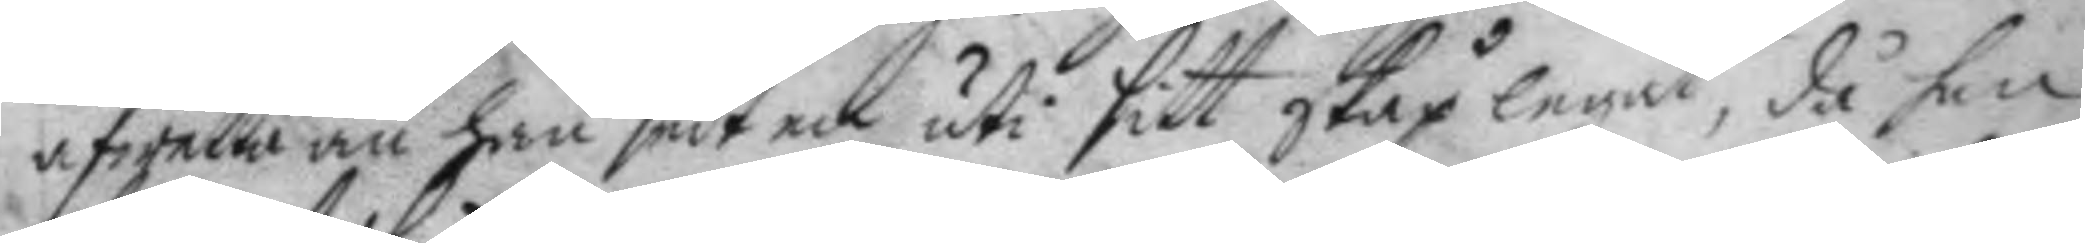afwetta än han sedt en uti sitt skåp legat, då han
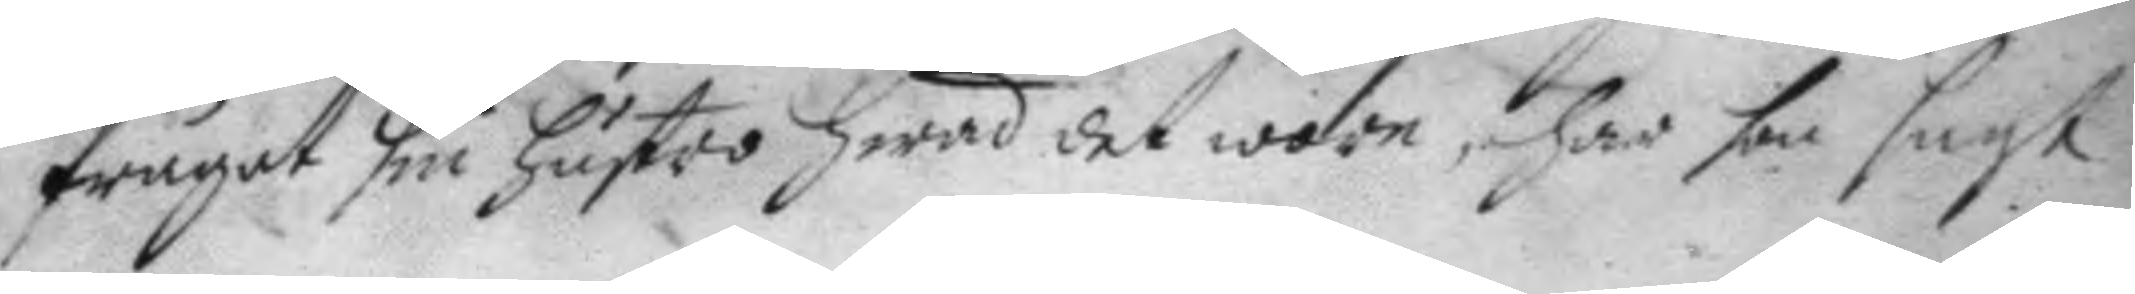frågat sin hustro hwad det wore, har hon sagt
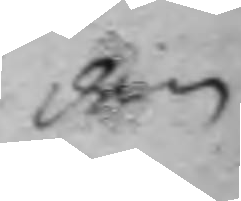den
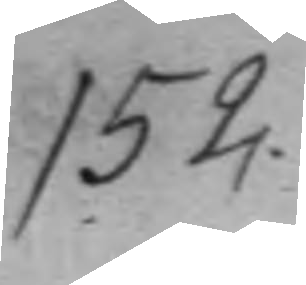152.
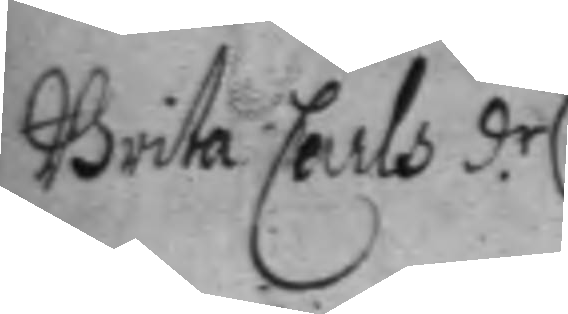Brita Carls d.r 
